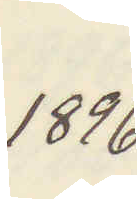1896
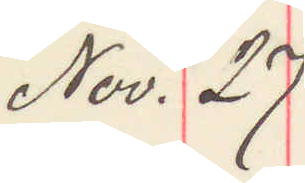Nov. 27
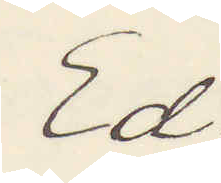Ed.
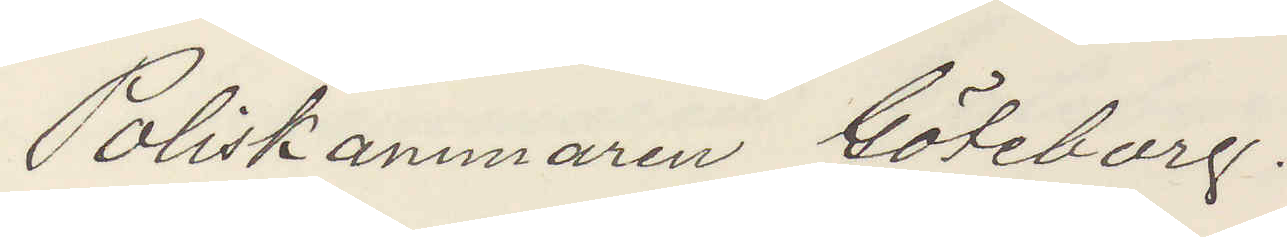Poliskammaren Göteborg.
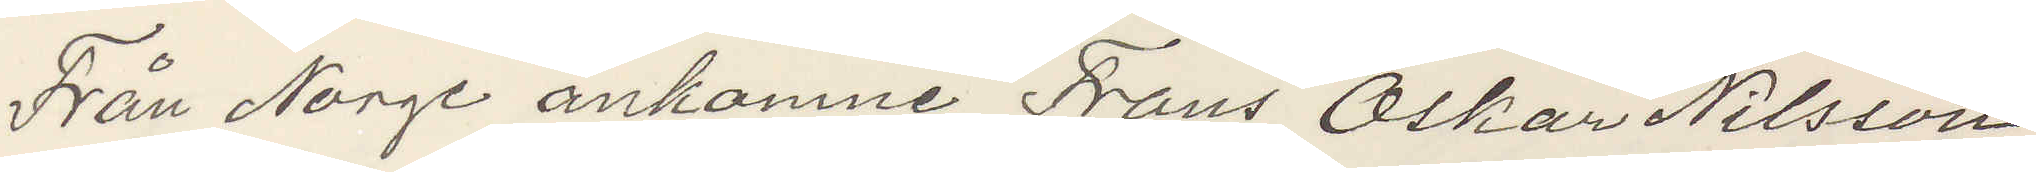Från Norge ankomne Frans Oskar Nilsson
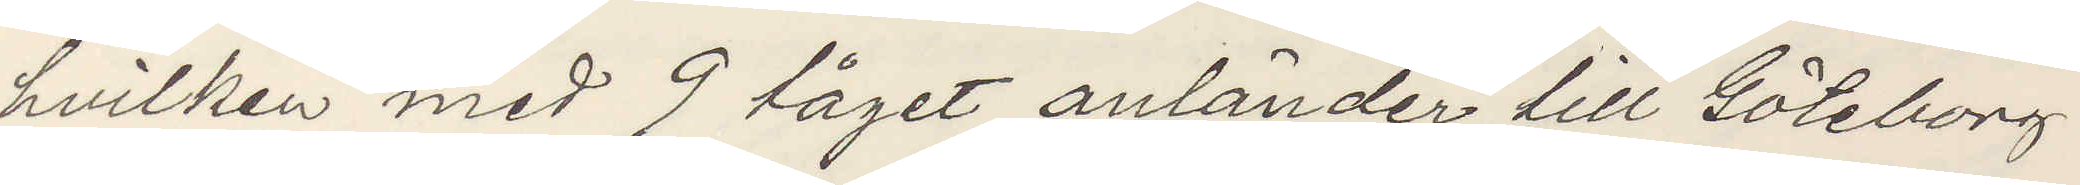hvilken med 9 tåget anländer till Göteborg
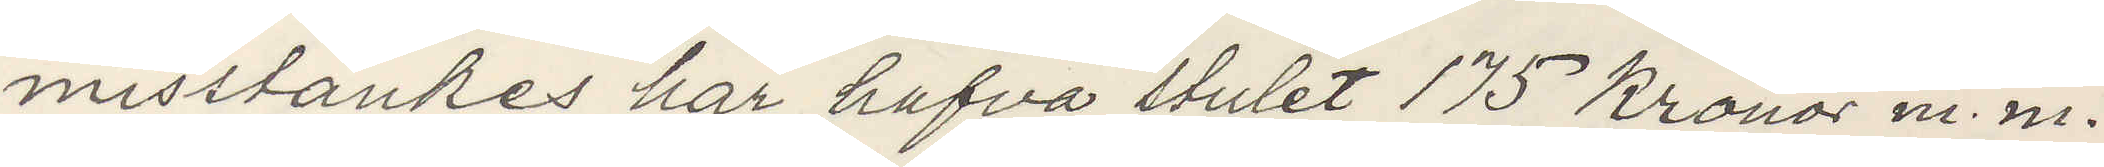misstänkes här hafva stulet 175 Kronor m. m.
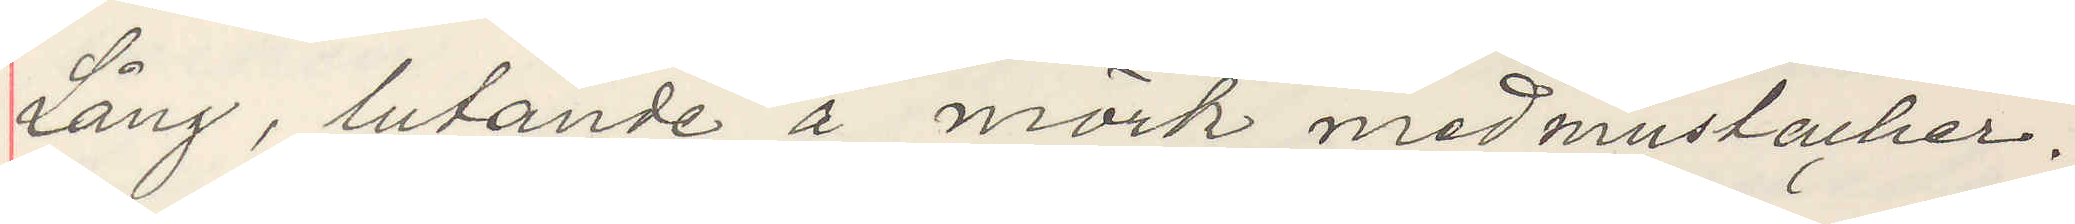Lång, lutande å mörk med mustacher.
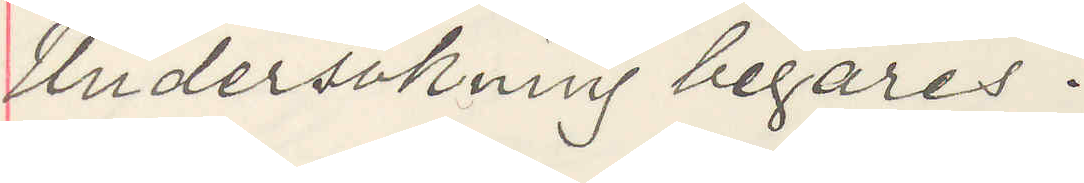Undersökning begäres.
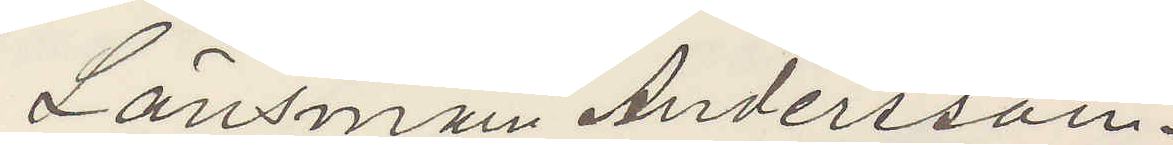Länsman Andersson.
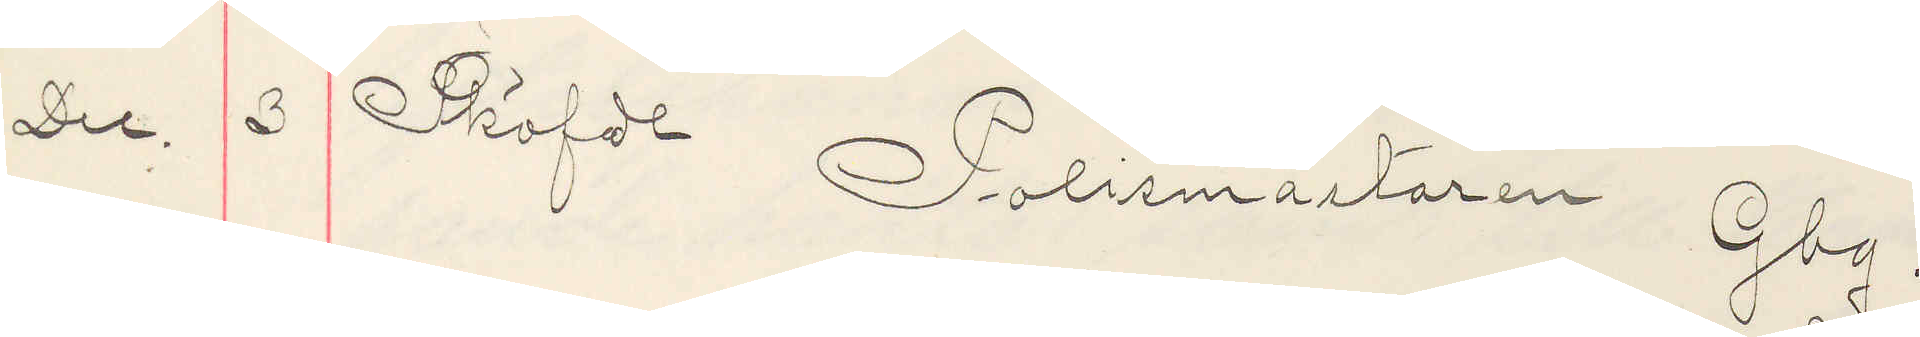Dec. 3 Sköfde Polismästaren Gbg.
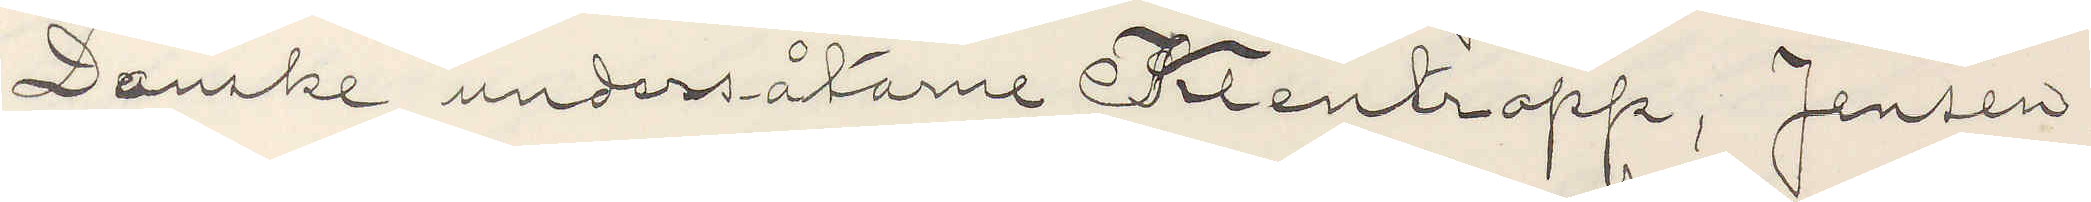Danske undersåtarne Klentropp, Jensen
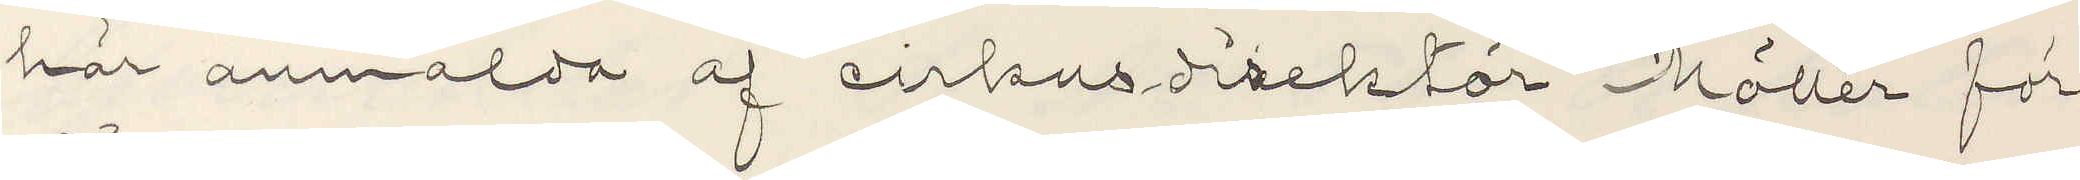här anmälda af cirkusdirektör Möller för
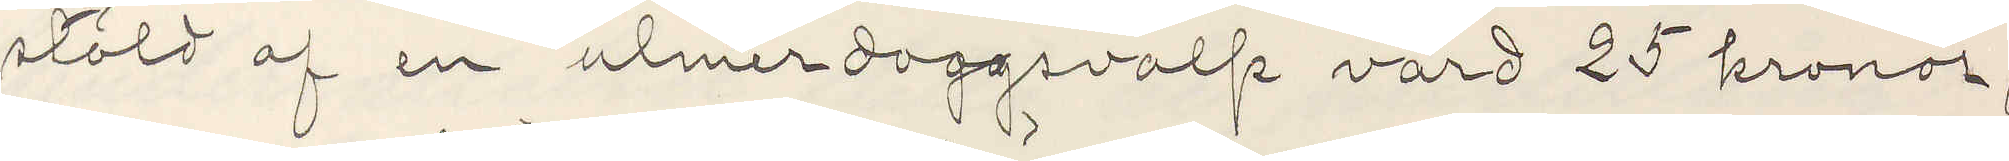stöld af en ulmerdoggsvalp värd 25 kronor,
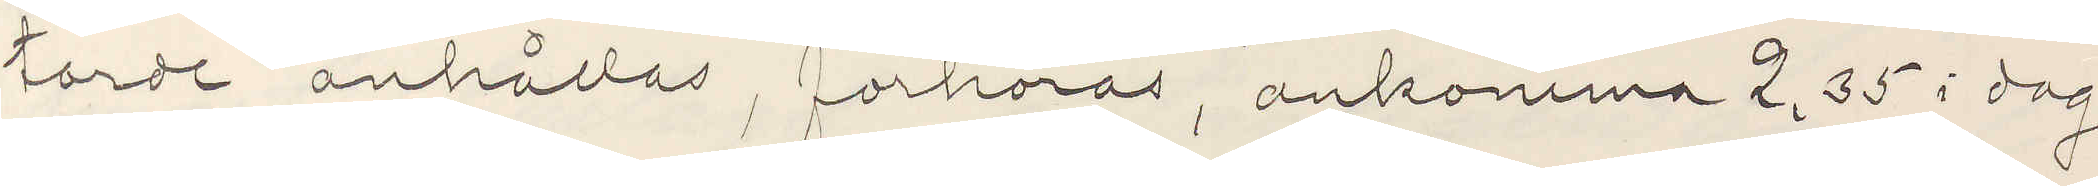torde anhållas, forhöras, ankomma 2,35 i dag
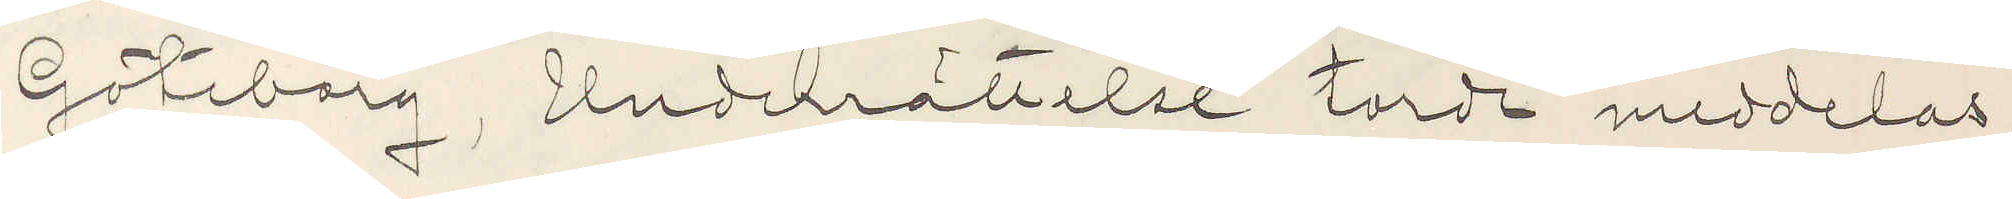Göteborg, Underrättelse torde meddelas.
